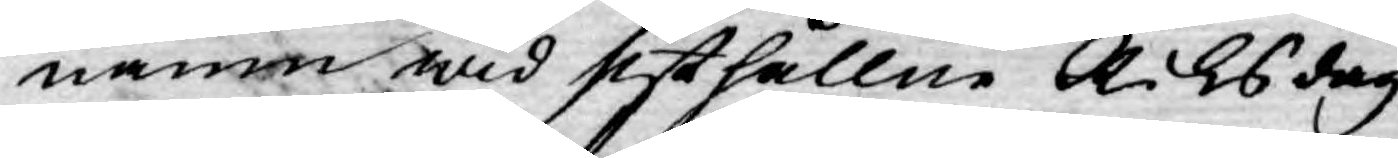namn wid sisthållne Riksdag
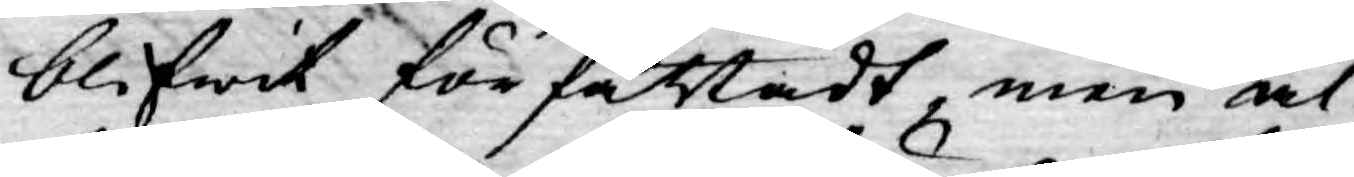blifwit författadt, men al¬
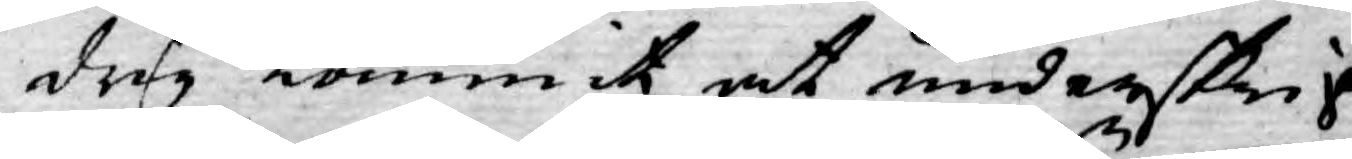drig kommit at underskrif¬
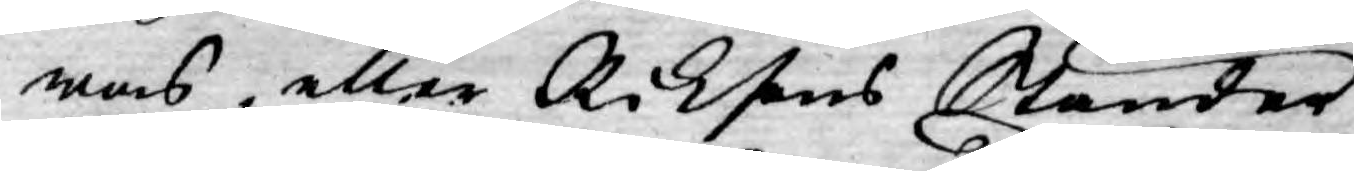was, eller Riksens Ständer
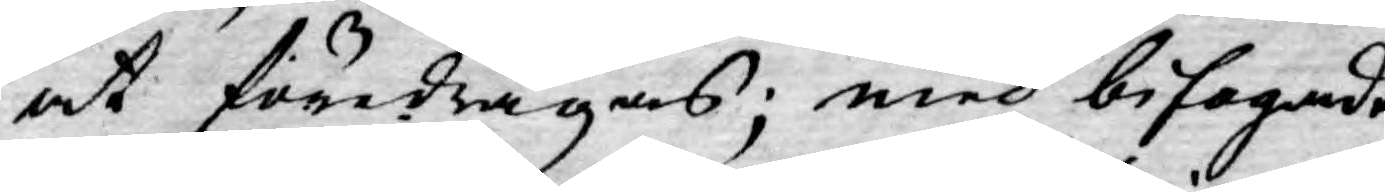at föredragas; med bifogadt
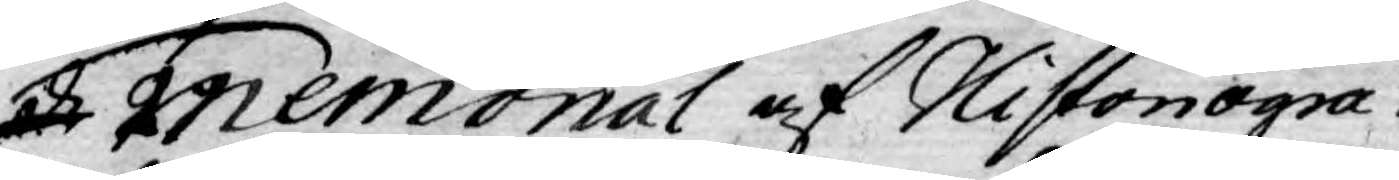och Memorial af Historiogra¬
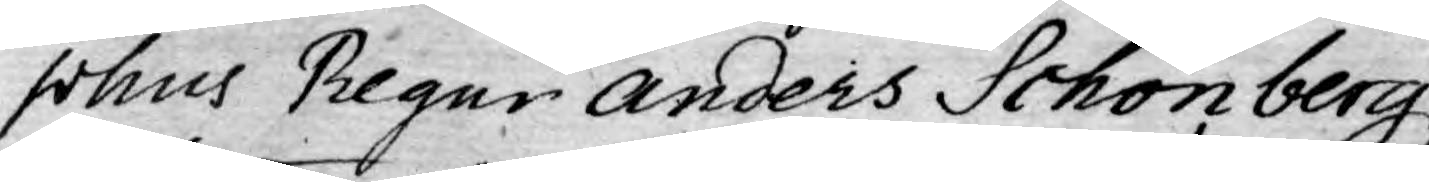phus Regur Anders Schönberg,
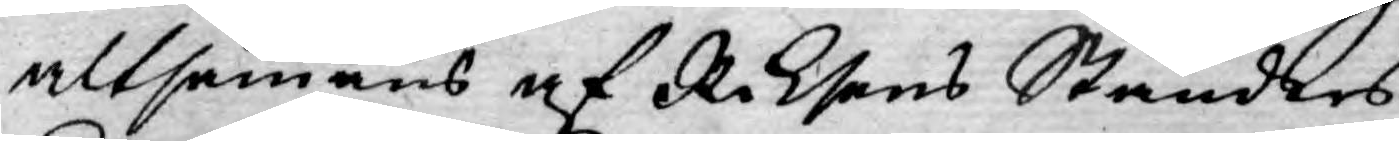altsammans af Riksens Ständers
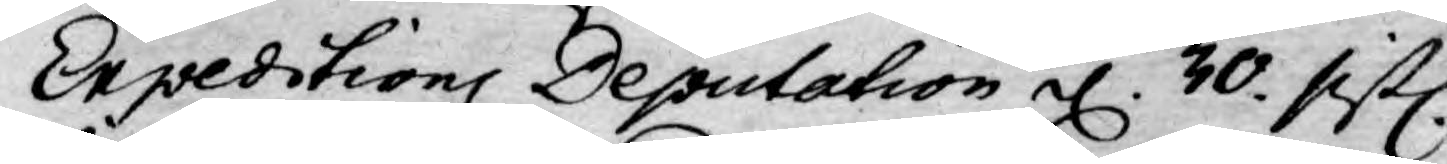Expeditions Deputation d. 30. sistl.
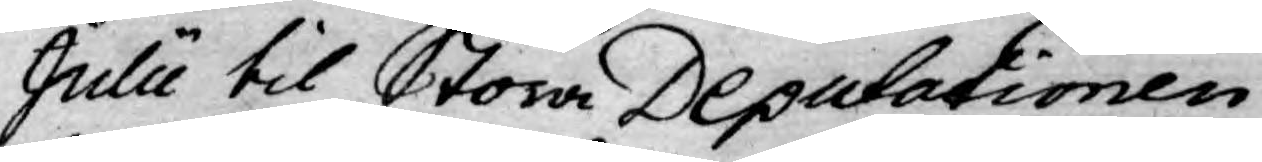Julii til Stora Deputationen,
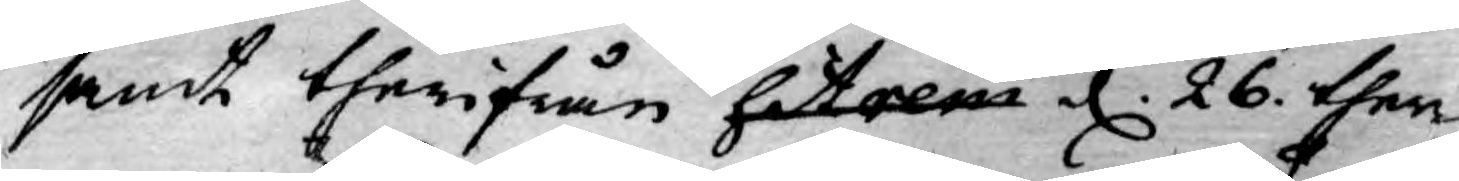samt therifrån hit rem d. 26 ther
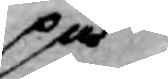på¬
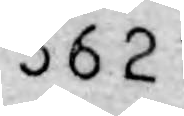362
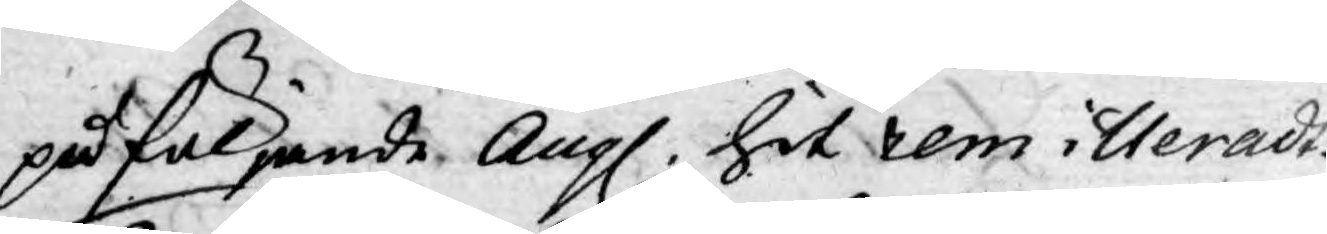påföljande Aug. hit remitteradt.
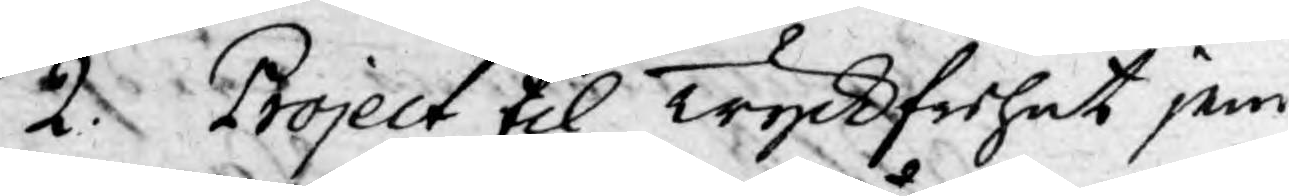2. Project til Tyckfrihet jem¬
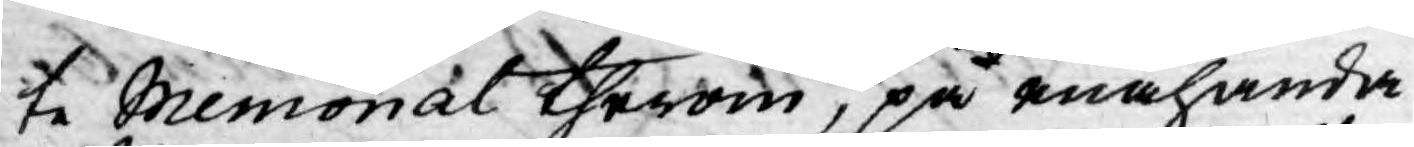te Memorial therom, på enahanda
